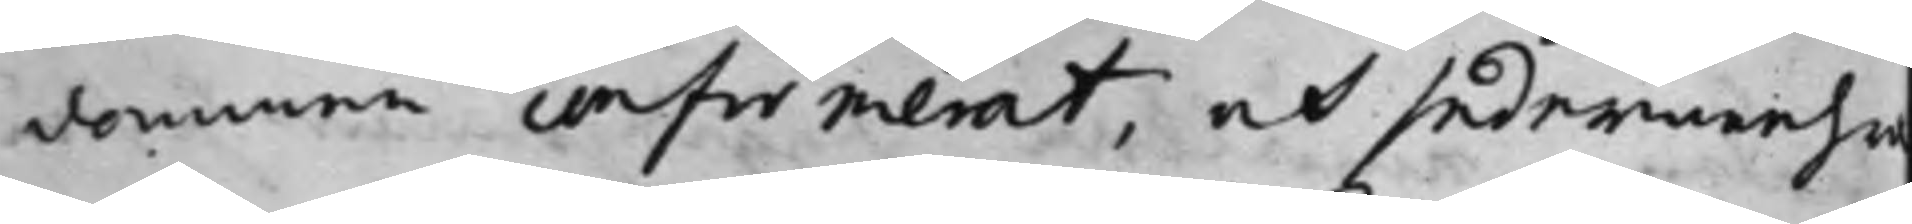dommen confirmerat, och sedermehra
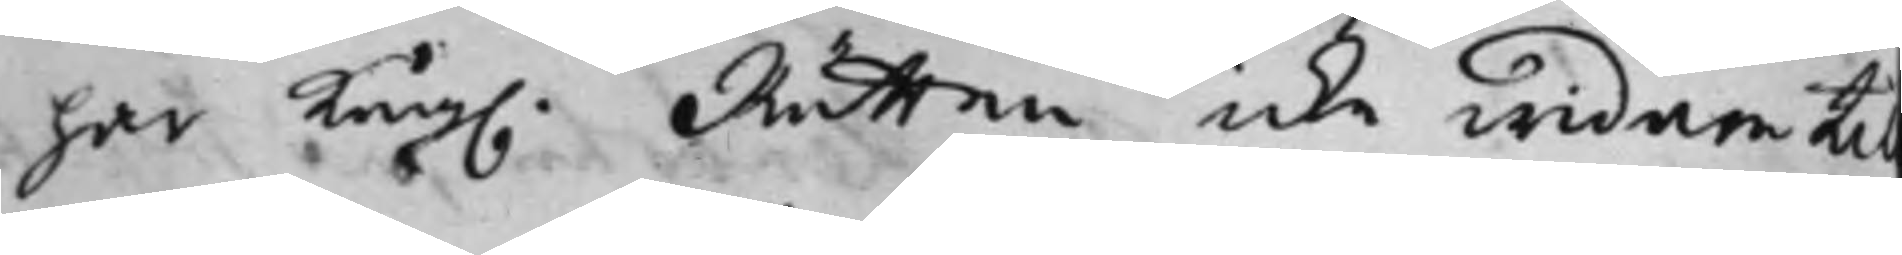har Kong. Rätten icke widare til
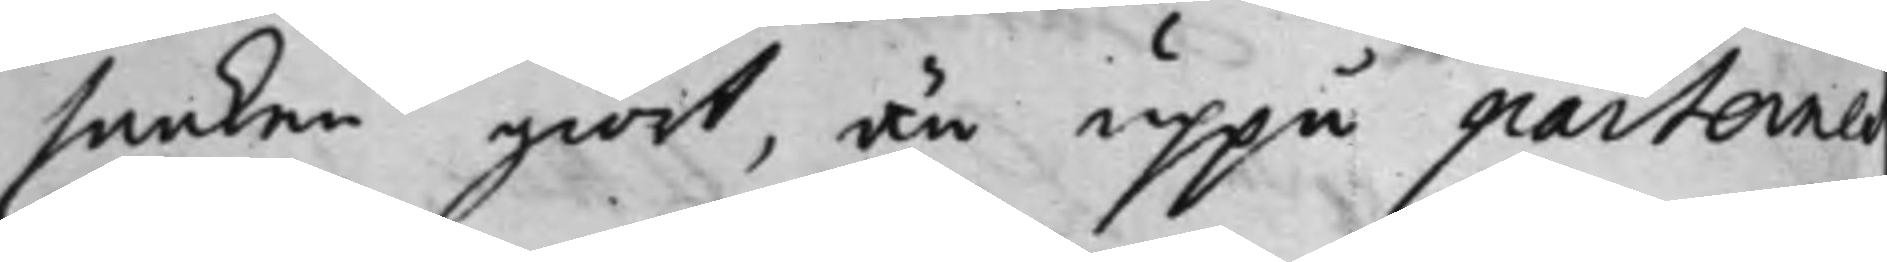saaken giort, än uppå parternes
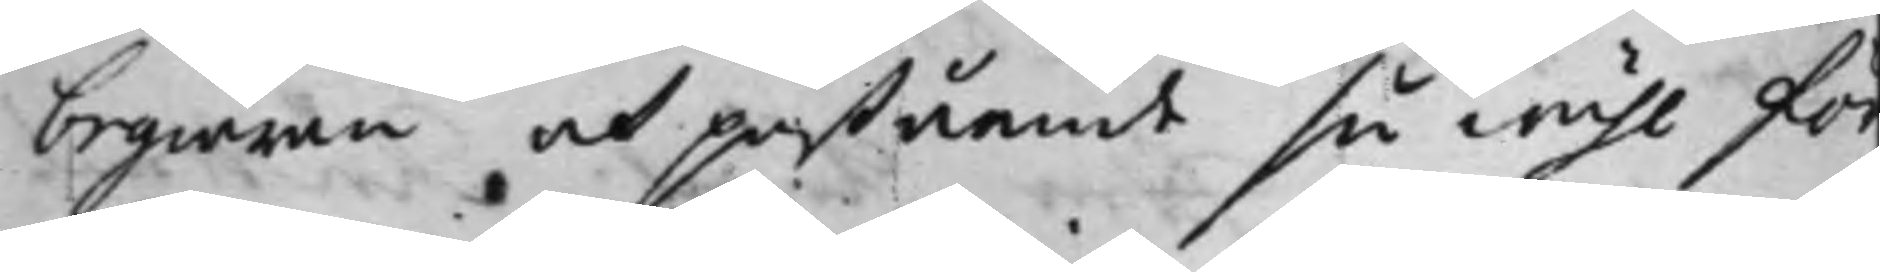begiäran och påstående så wähl för¬
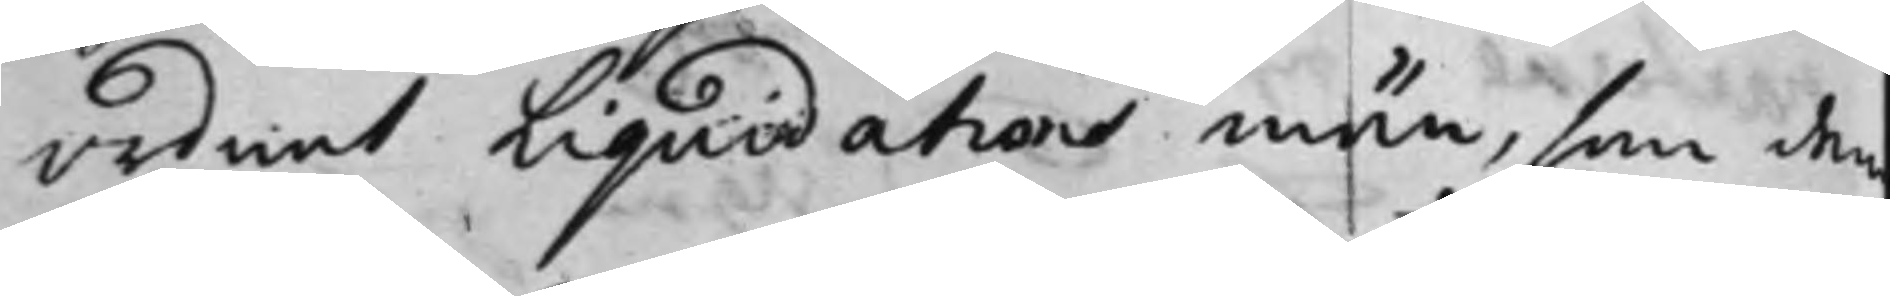ordnat Liquidations män, som dem
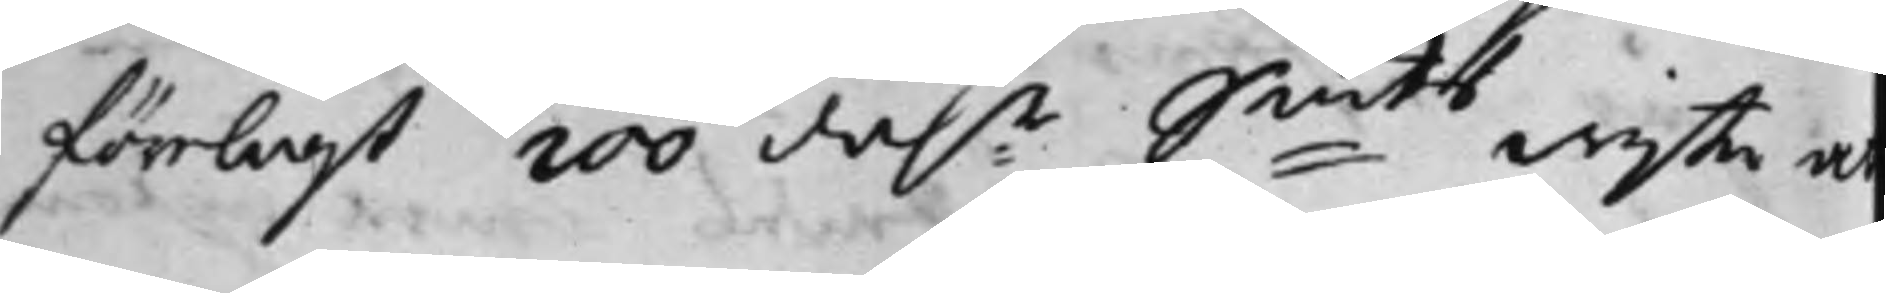förelagt 200 dal:r S:mts wijte a
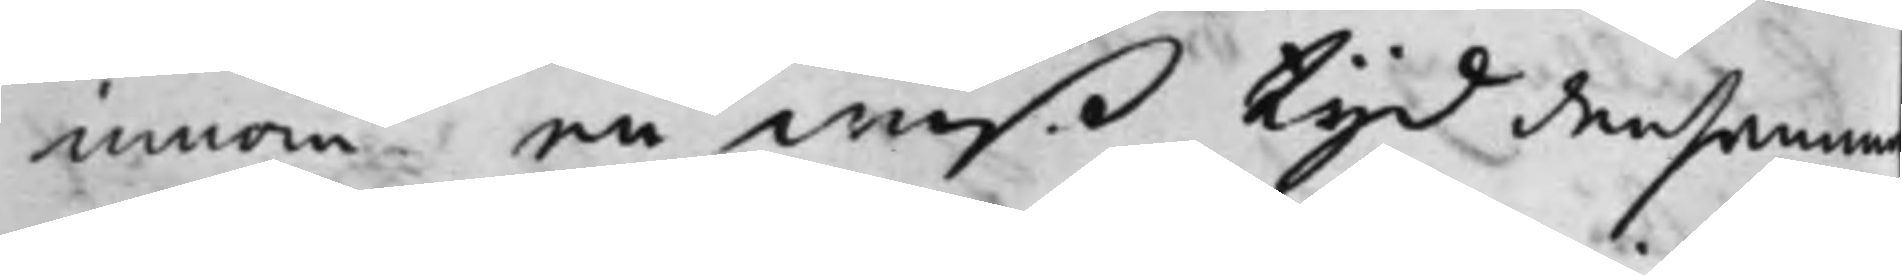innom en wiß tijd densamm
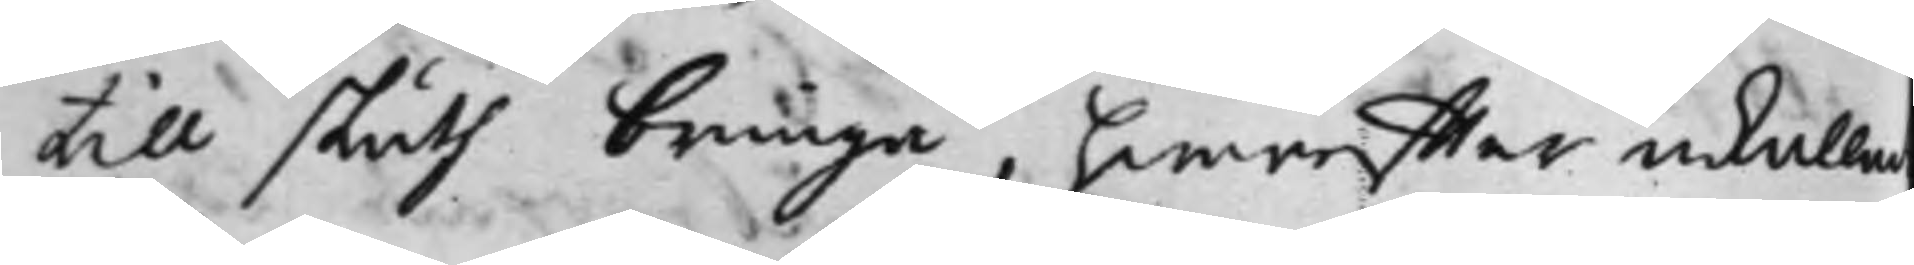till sluth bringa, hwareffyter inkalla
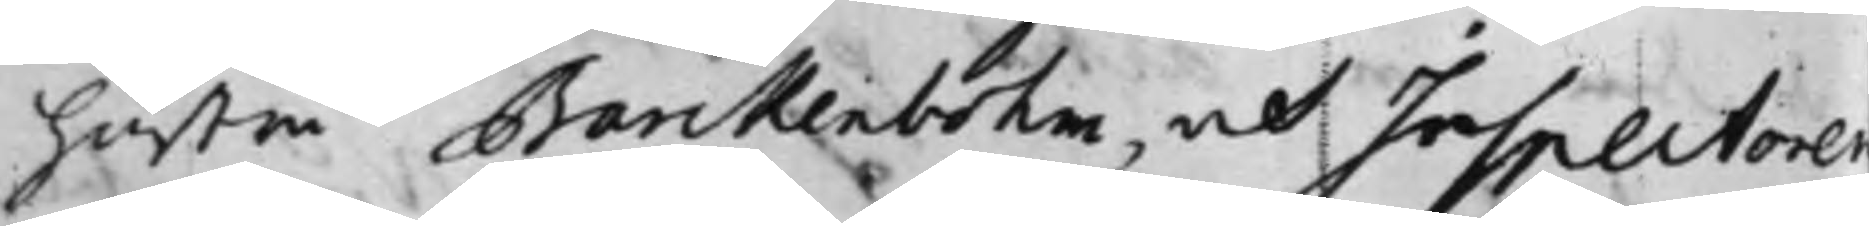hustru Barckenbohm, och Inspectore
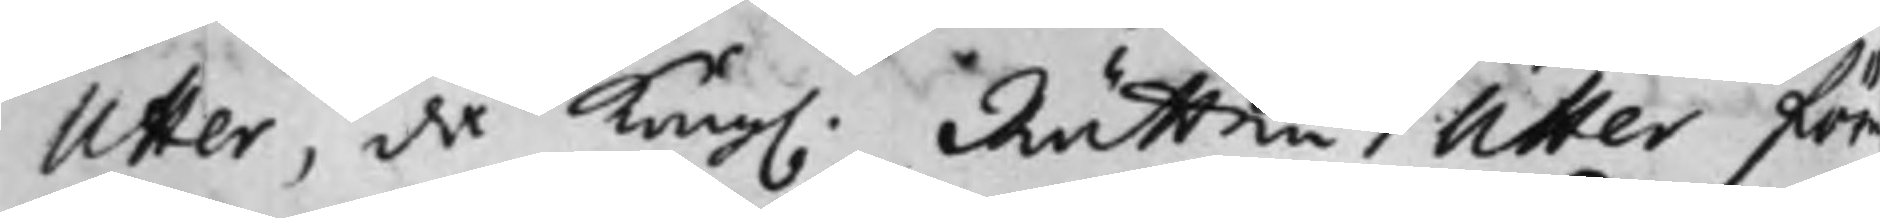Utter, då Kong. Rätten Utter för¬
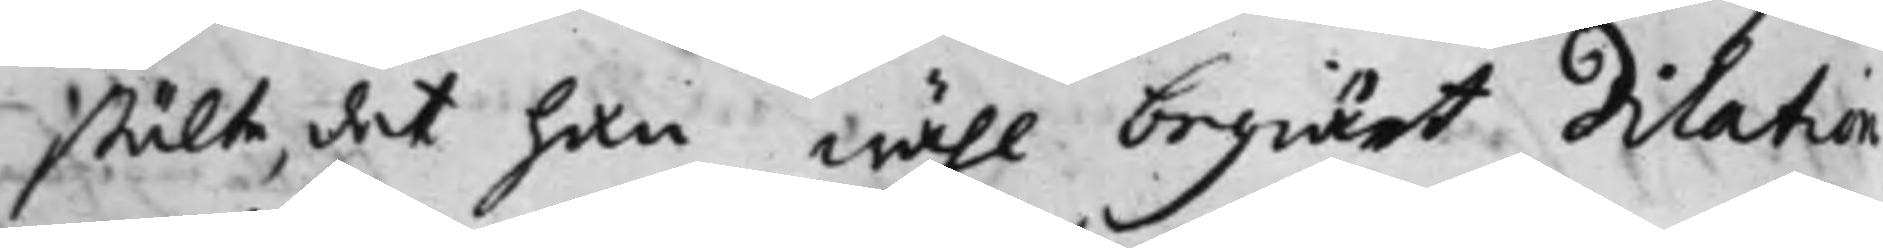stälte, det han wähl begiärt Dilation
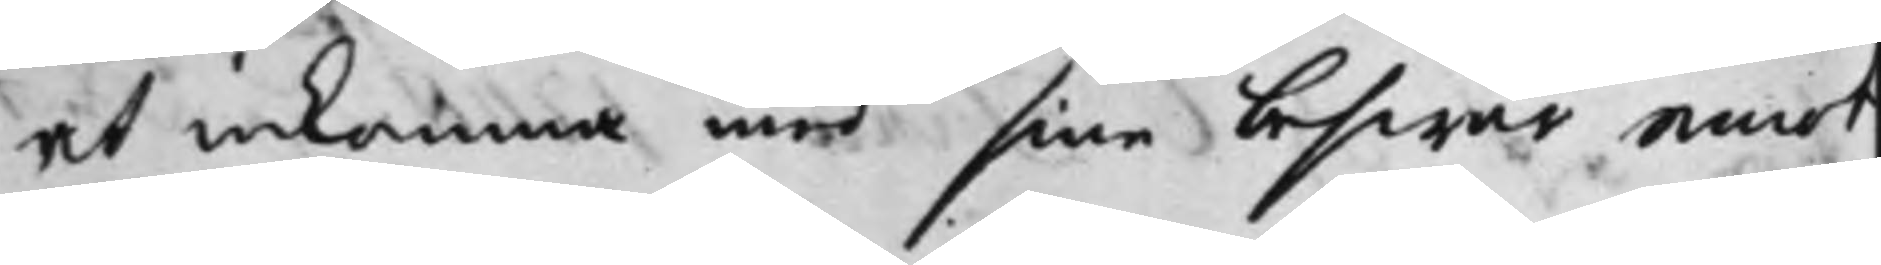at inkomma med sina beswär emot
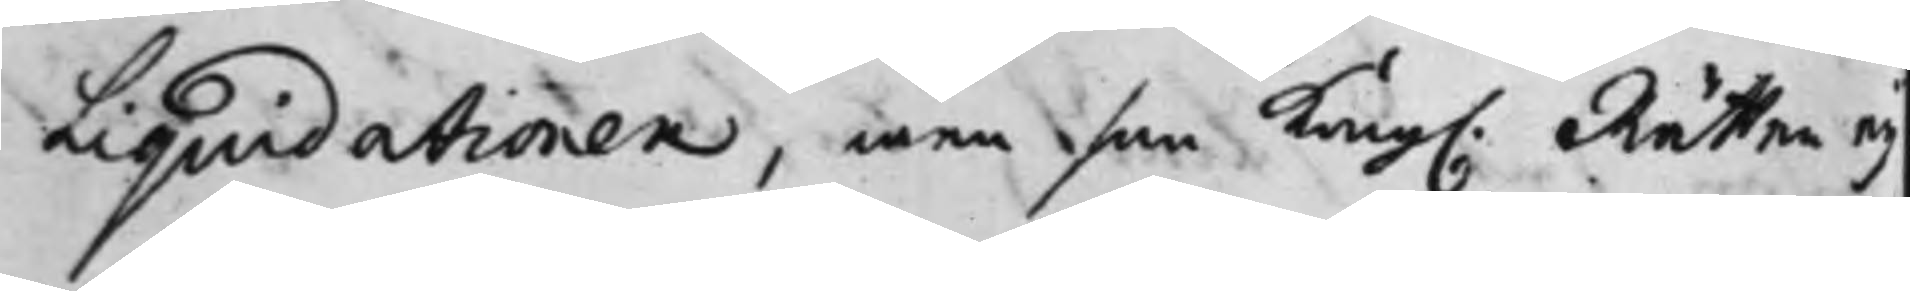Liquidationen, men som Kong. Rätten eij
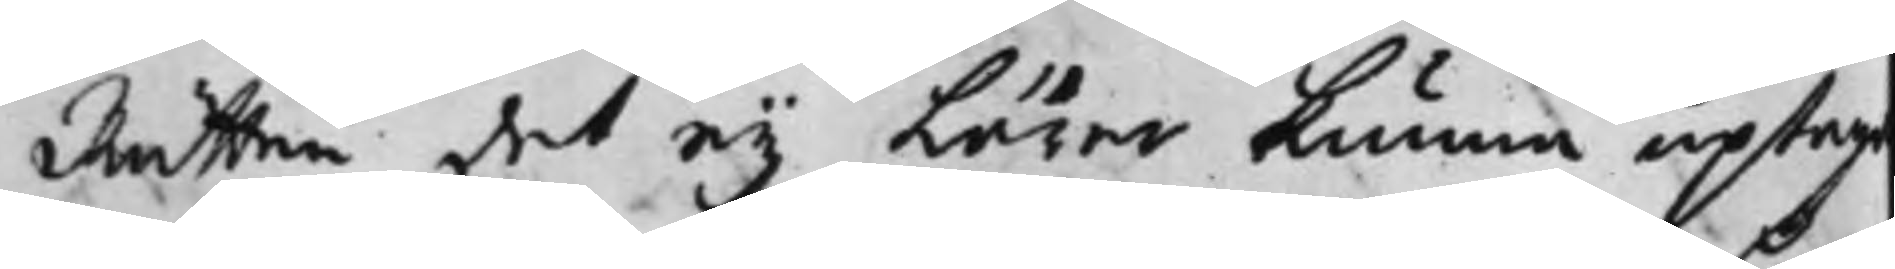Rätten det ey Lärer kunna uptaga
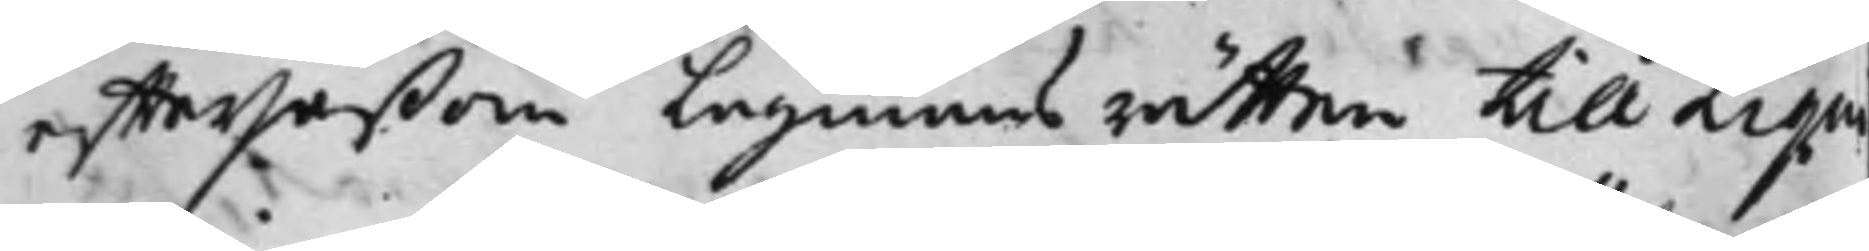efftersåßom Lagmans rätten till Liqui¬
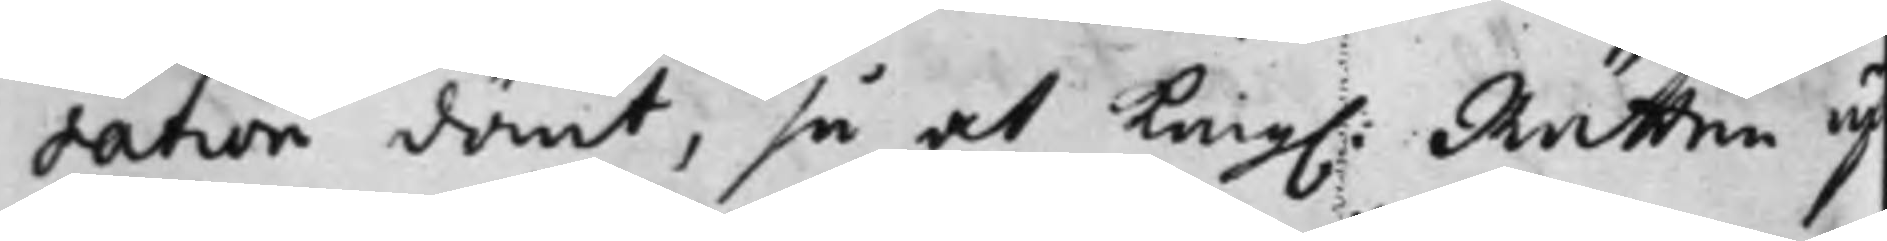dation dömt, så at Kong: Rätten up¬
